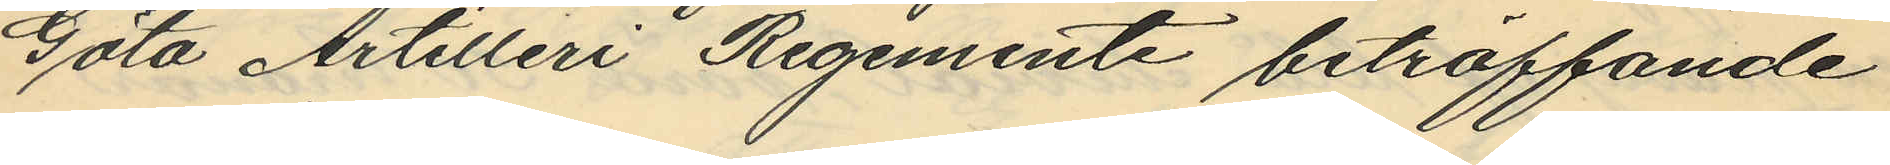Göta Artilleri Regemente beträffande
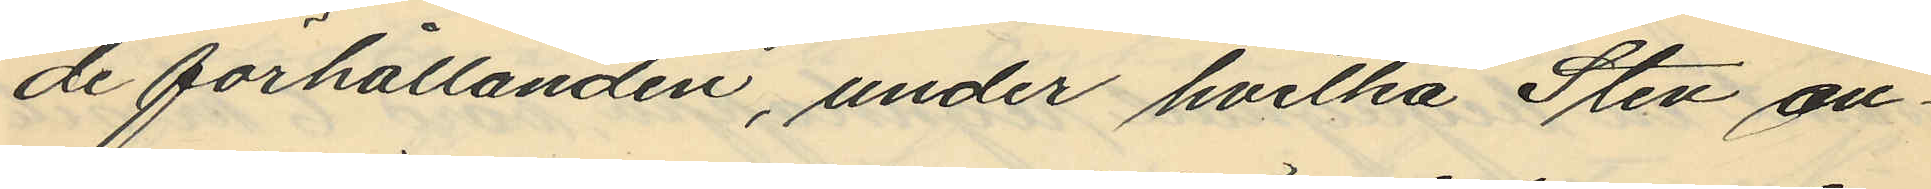de förhållanden, under hvilka Sten an¬
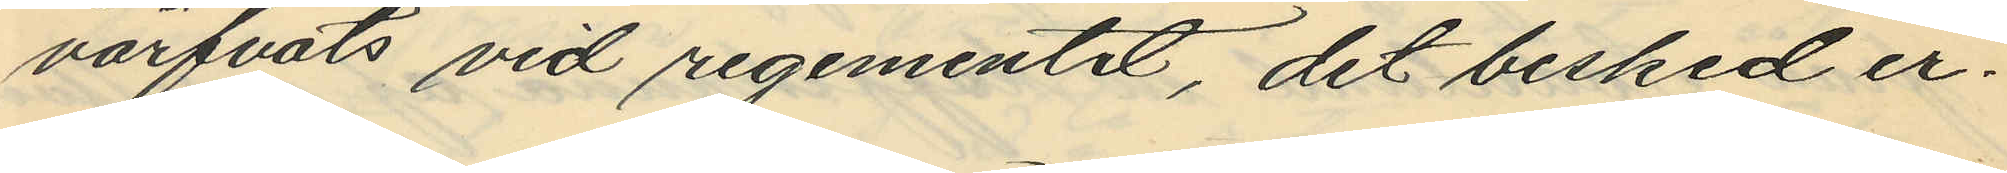värfvats vid regementet, det besked er¬
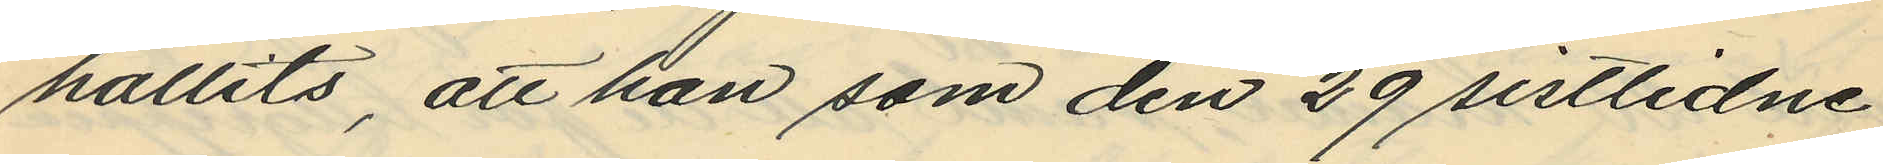hållits, att han som den 29 sistlidne
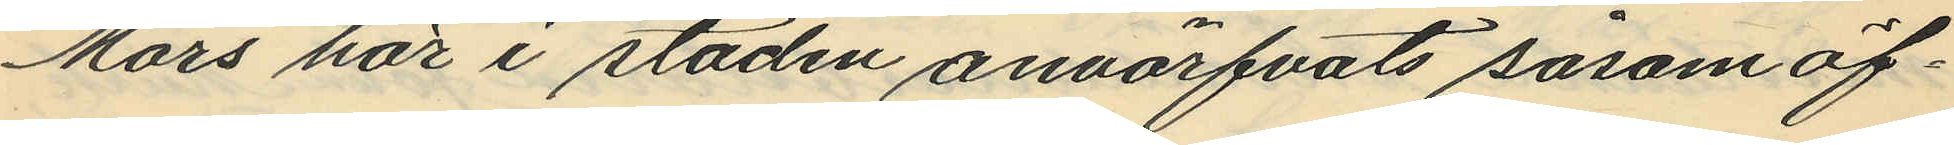Mars här i staden anvärfvats såsom öf¬
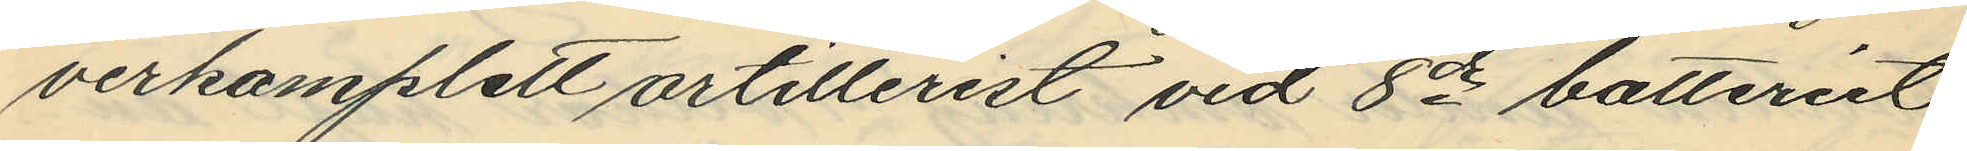verkamplett artillerist vid 8de batteriet
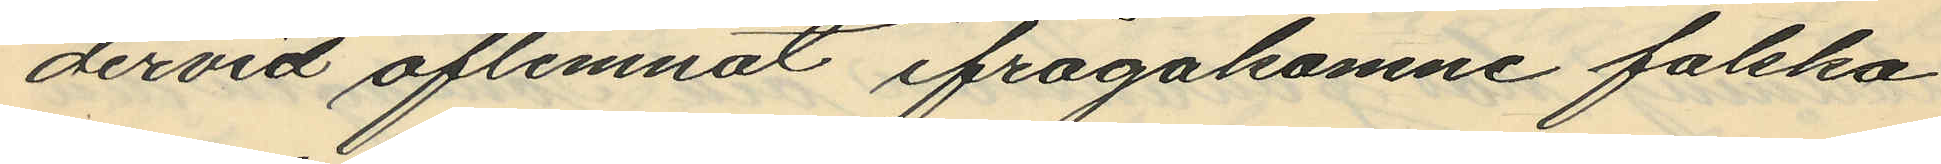dervid aflemnat ifrågakomne falska
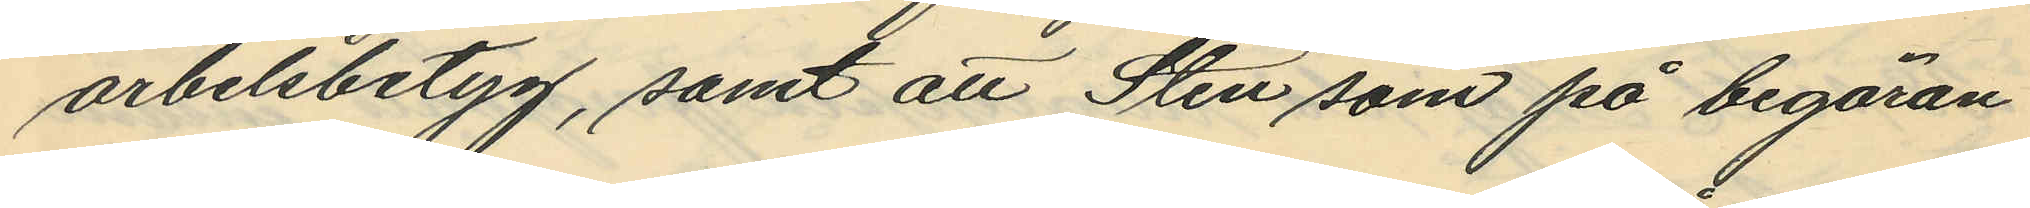arbetsbetyg, samt att Sten som på begäran
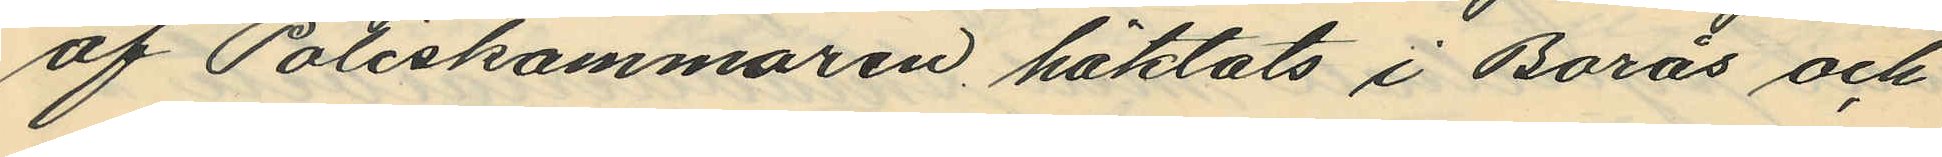af Poliskammaren häktats i Borås och
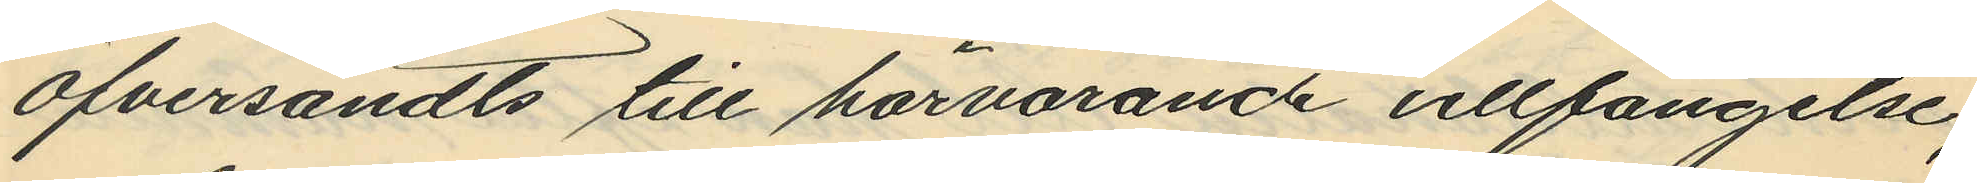öfversändts till härvarande cellfängelse,
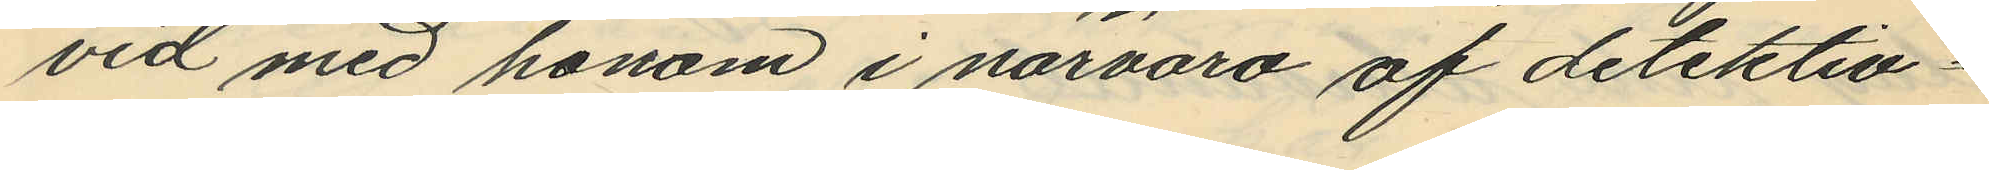vid med honom i närvaro af detektiv¬
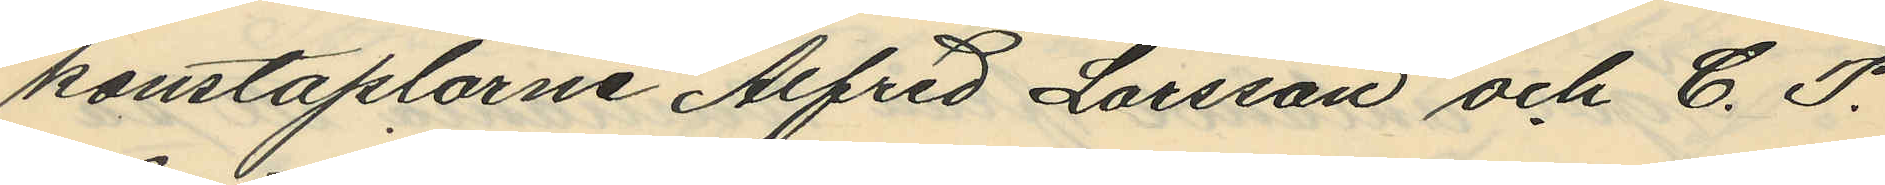konstaplarne Alfred Larsson och C. F.
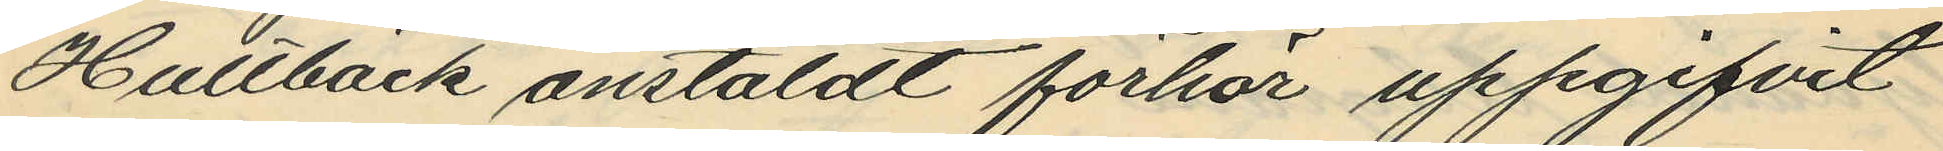Hultbäck anstäldt förhör uppgifvit
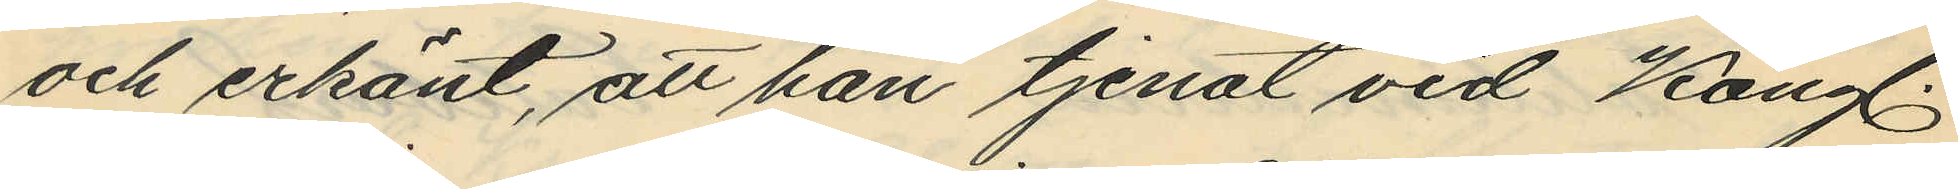och erkänt, att han tjenat vid Kongl.
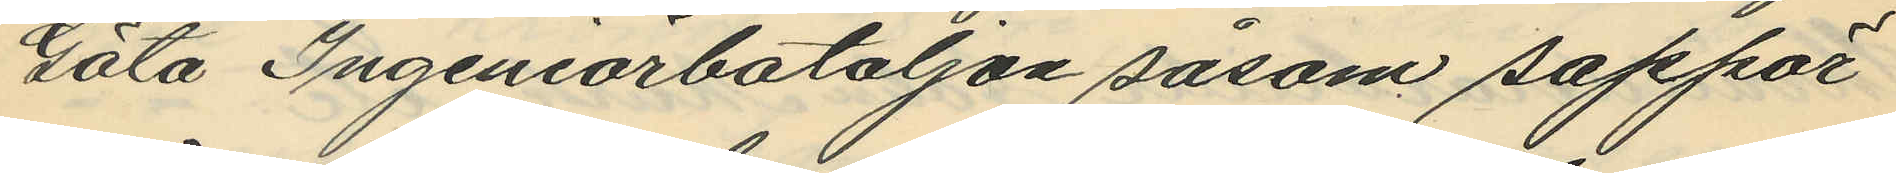Göta Ingeniörbataljon såsom sappör
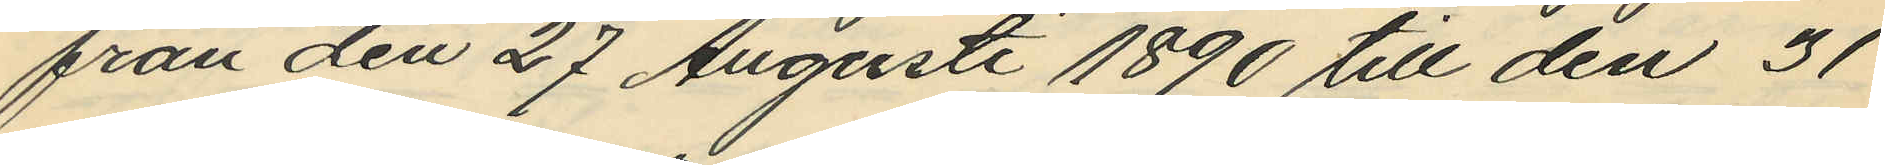från den 27 Augusti 1890 till den 31
